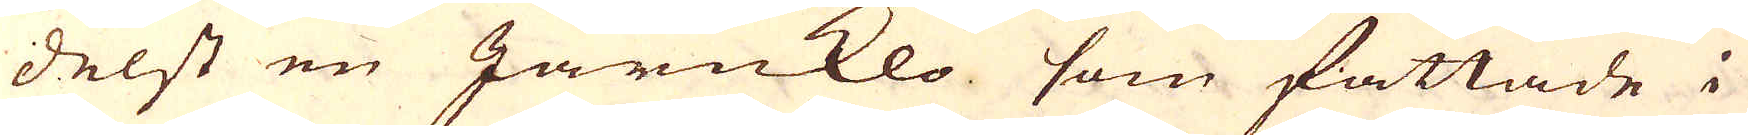delst en Järnklo som fattade i
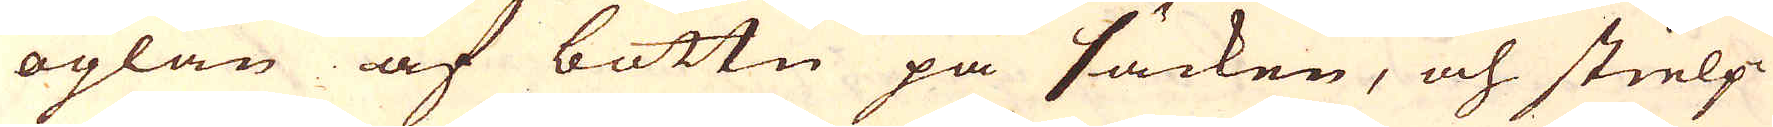öglan af bottn på säcken, och stielp-
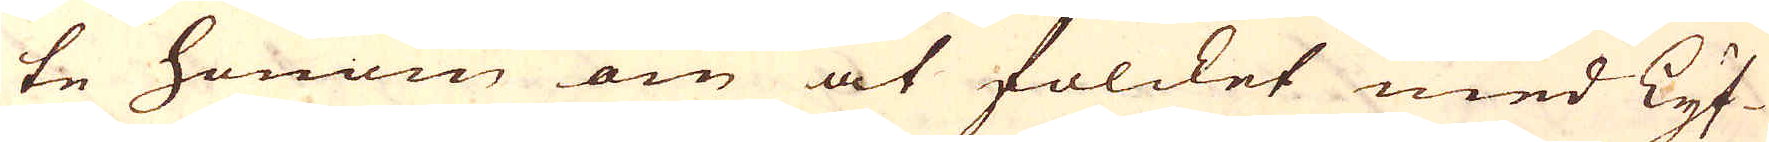te honom om at folcket med Lyf-
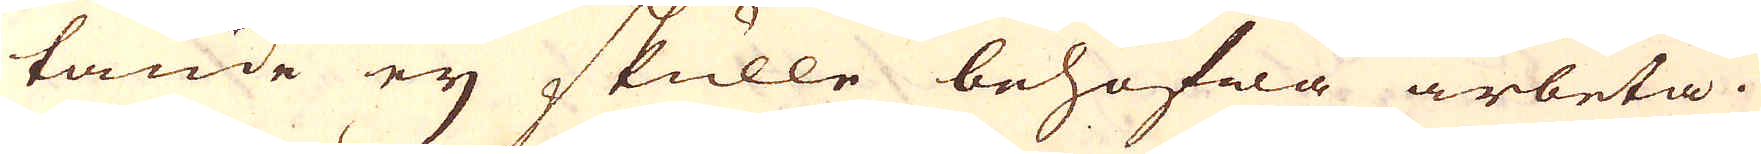tande ey skulle behöfwa arbeta.
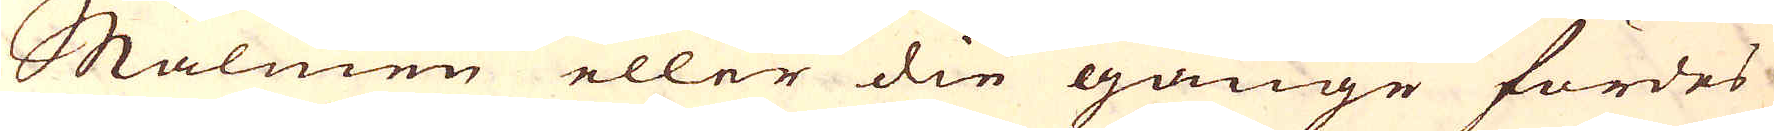Malmen eller die gånge fördes
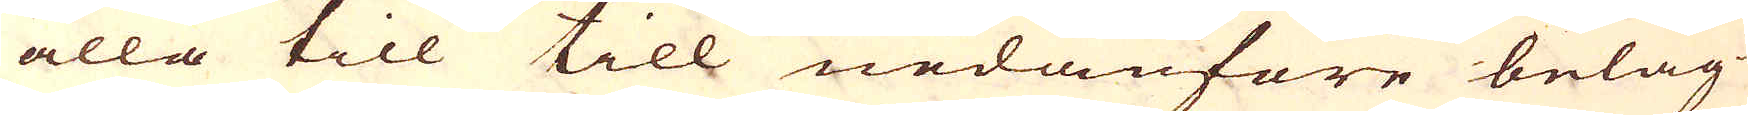alla till till nedanföre beläg-
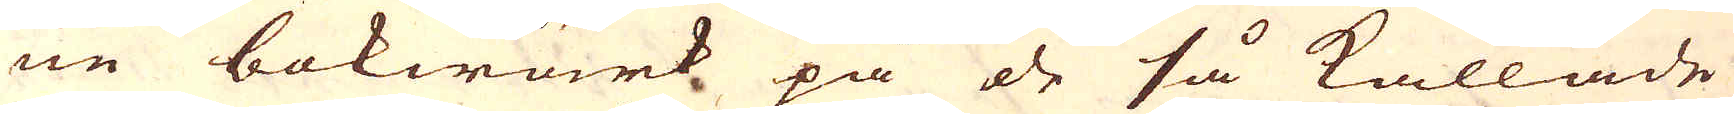ne bokwärk på de så kallade
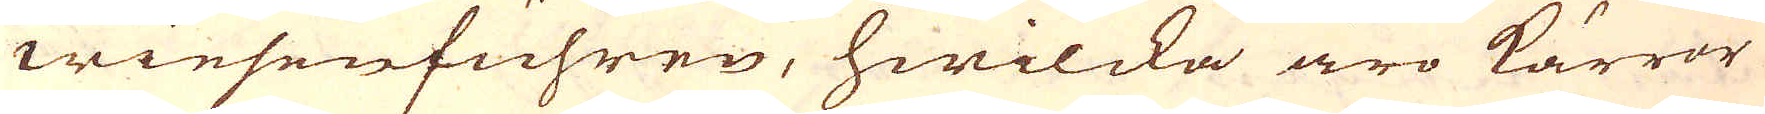wiesenfuhren, hwilcka äro kärror
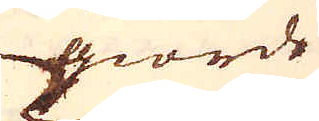giorde
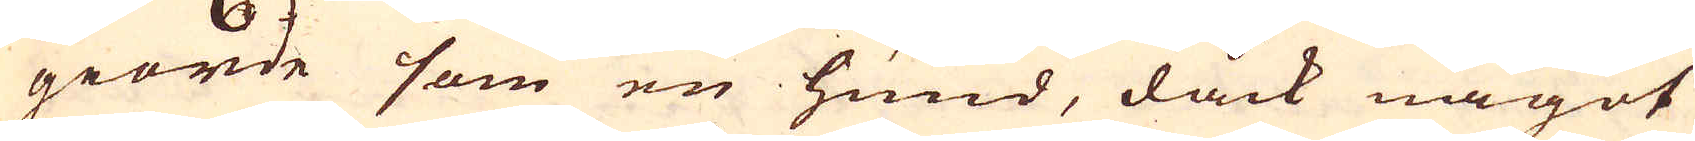giorde som en hund, dåck något
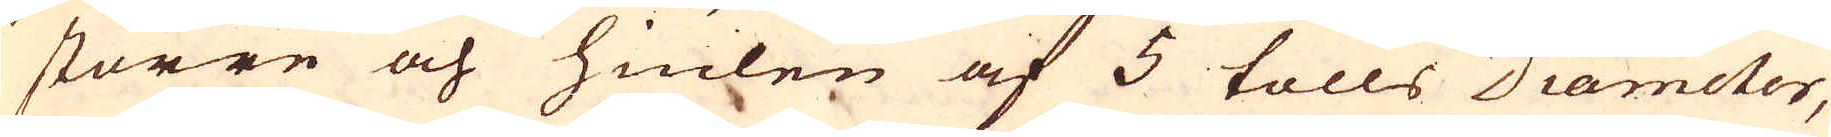större och hiulen af 5 tolls Diameter,
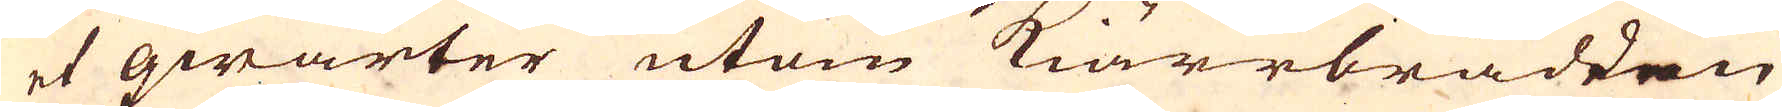et qwarter utom kiärrbrädden
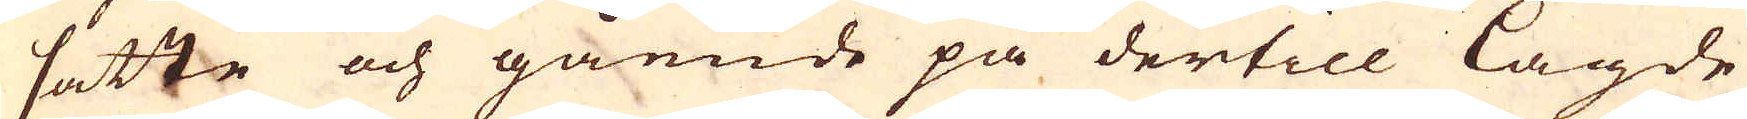satte och gående på dertill lagde
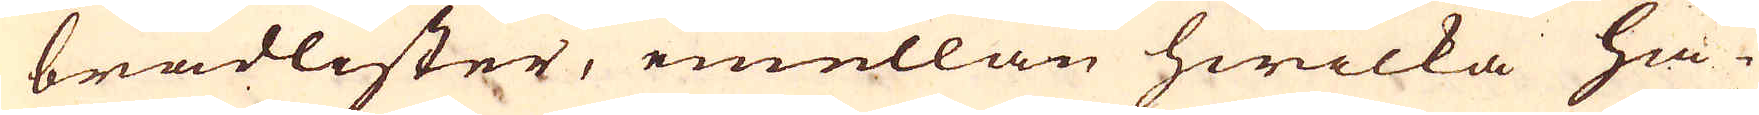brädlister, emellan hwilka hä-
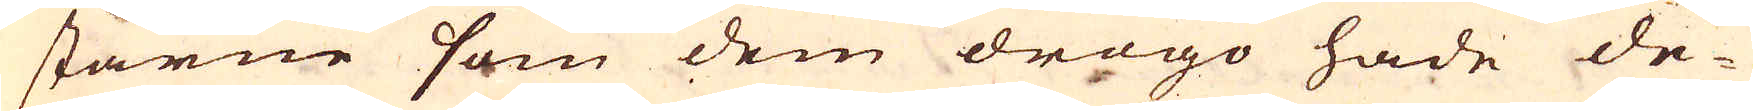starne som dem drogo hade de-
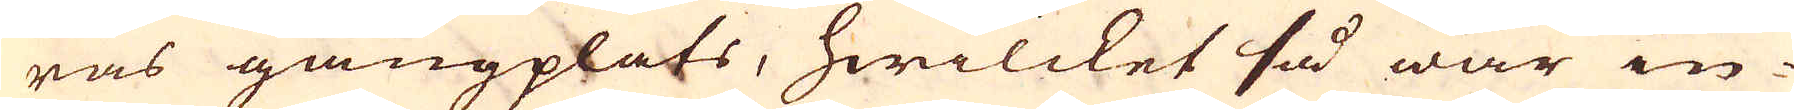ras gångplats, hwilcket så war in-
